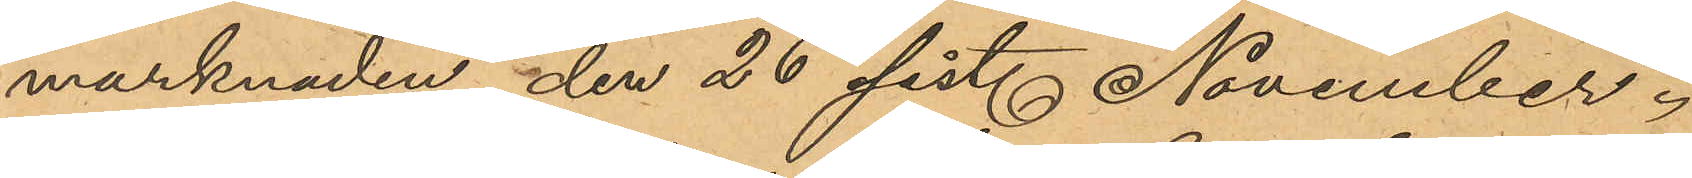marknaden den 26 sist. November.
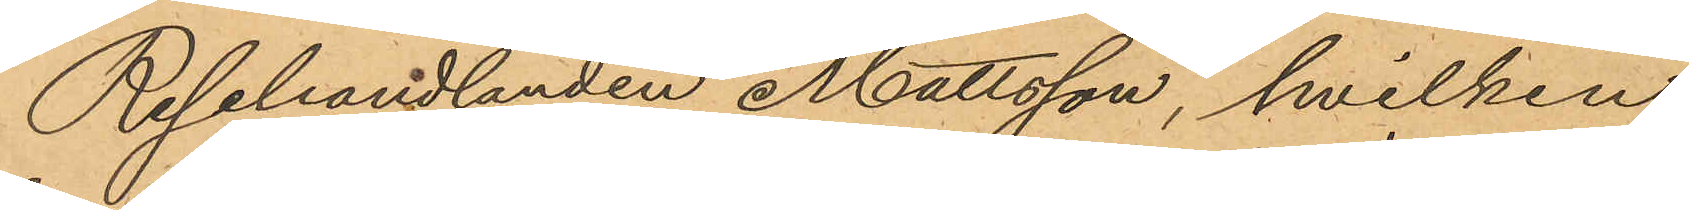Resehandlanden Mattsson, hvilken
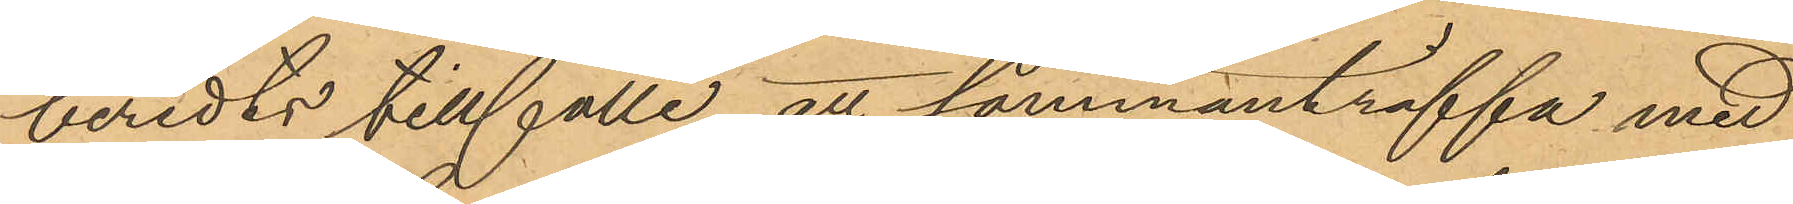beredts tillfälle att sammanträffa med
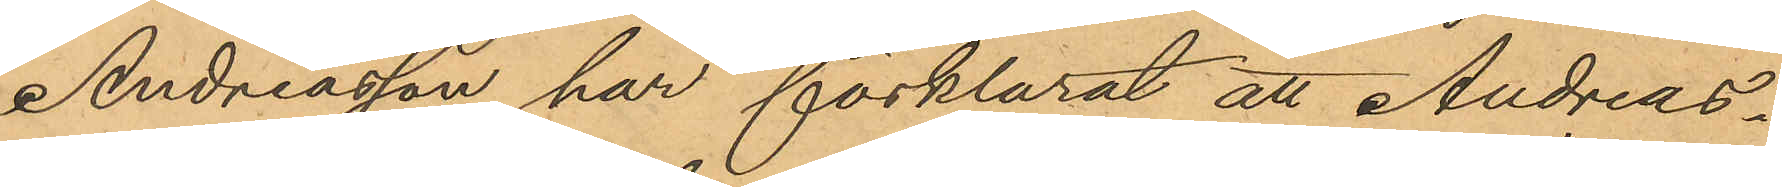Andreasson har förklarat att Andreas¬
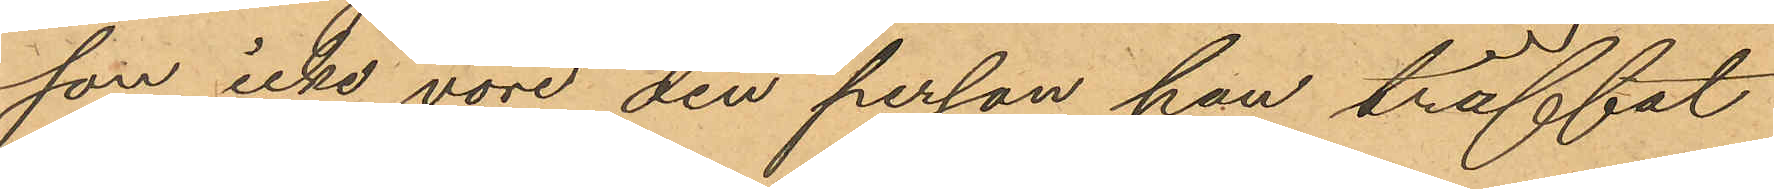son icke vore den person han träffat
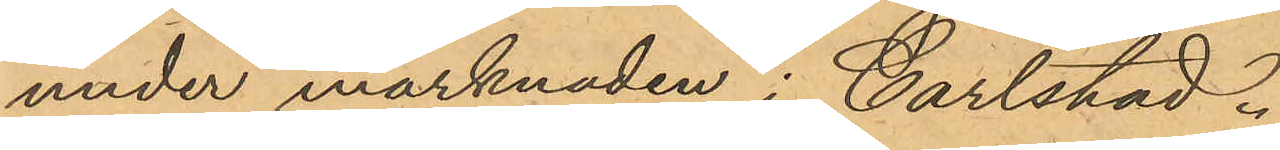under marknaden i Carlstad.
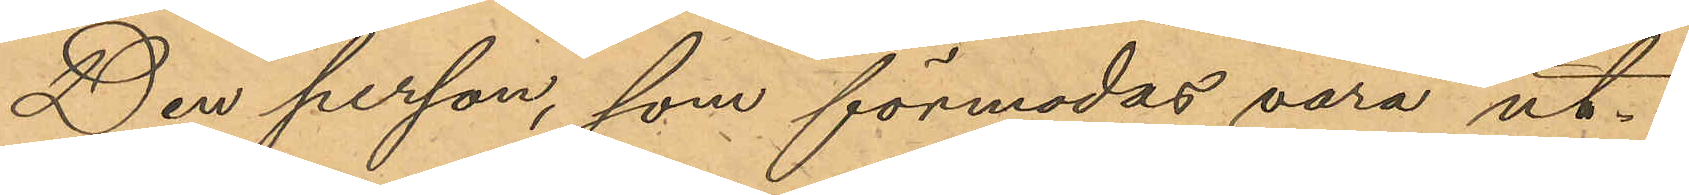Den person, som förmodas vara ut¬
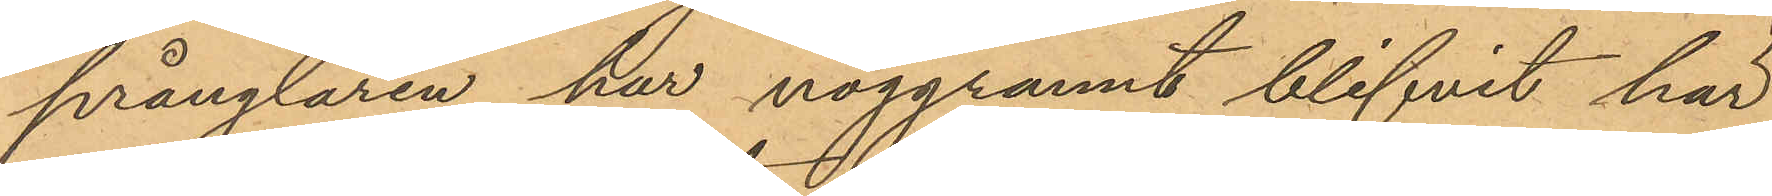prånglaren har noggrant blifvit här
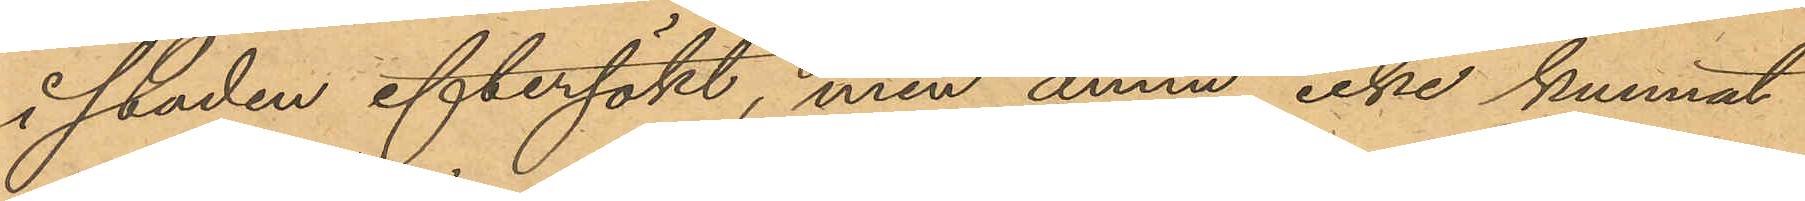i staden eftersökt, men ännu icke kunnat
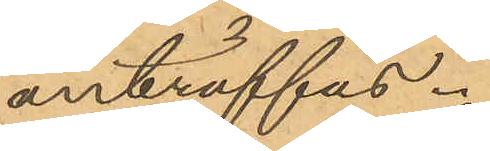anträffas.
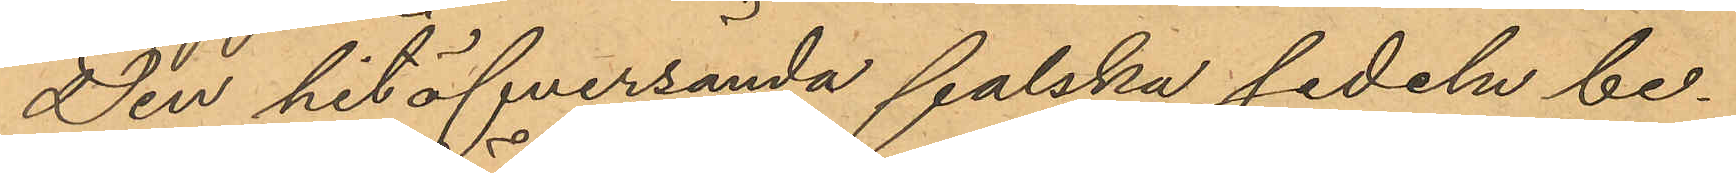Den hit öfversända falska sedeln bi¬
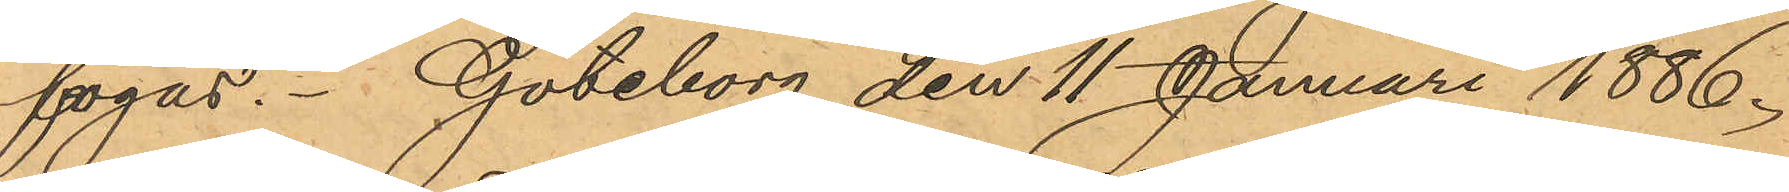fogas. Göteborg den 11 Januari 1886.
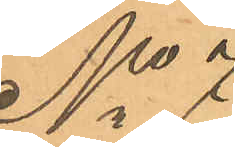No 7
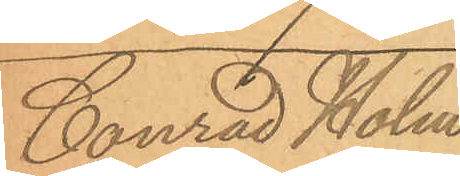Conrad Holm¬
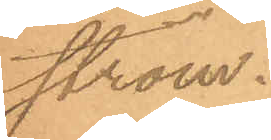ström.
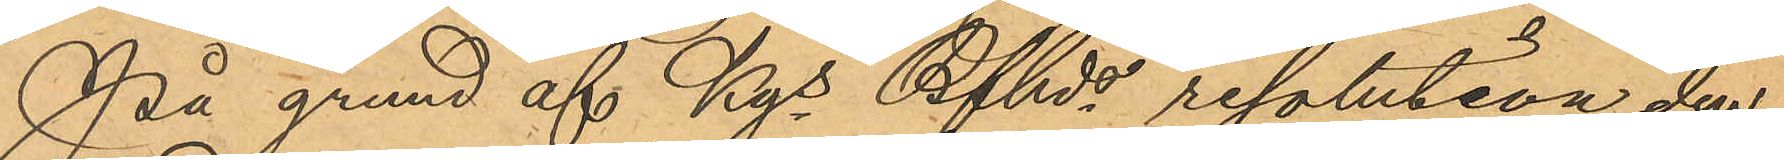På grund af Kgs Bfhds resolution den
